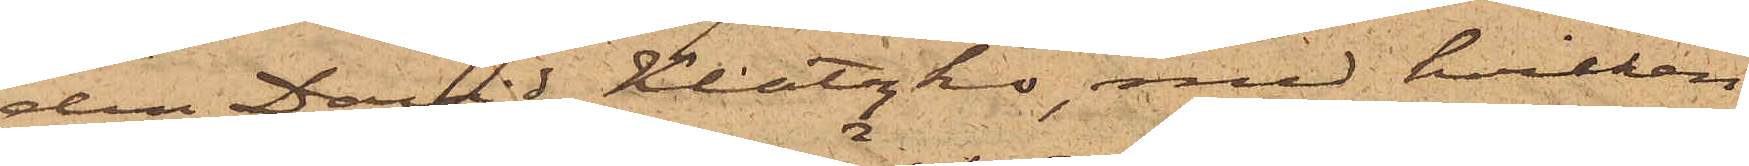den David Klatzko, med hvilken
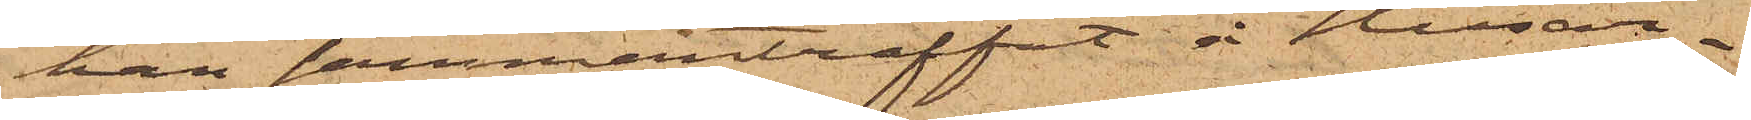han sammanträffat å Husar¬
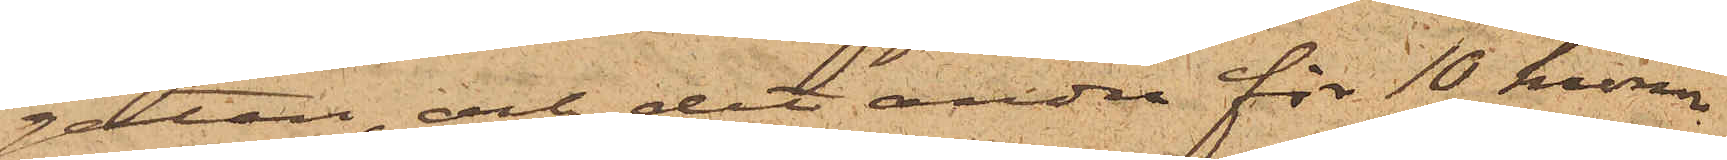gatan och det andra för 10 kronor
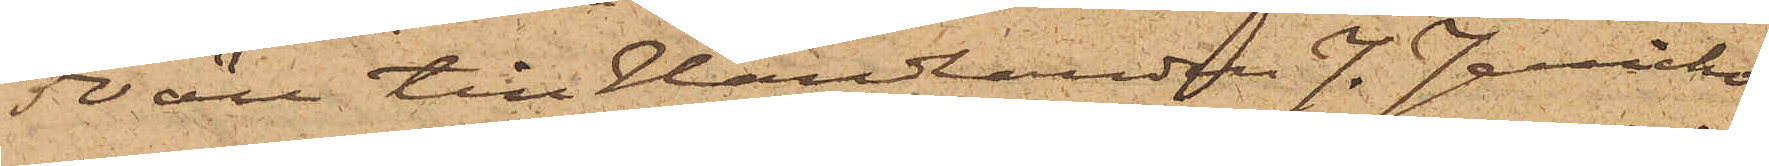50 öre till Handlanden J. Jericho¬
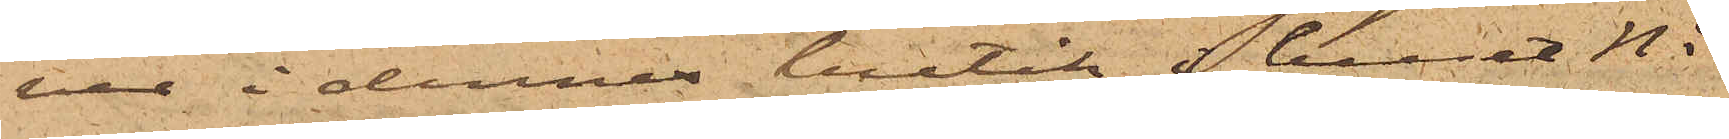ver i dennes butik i huset No
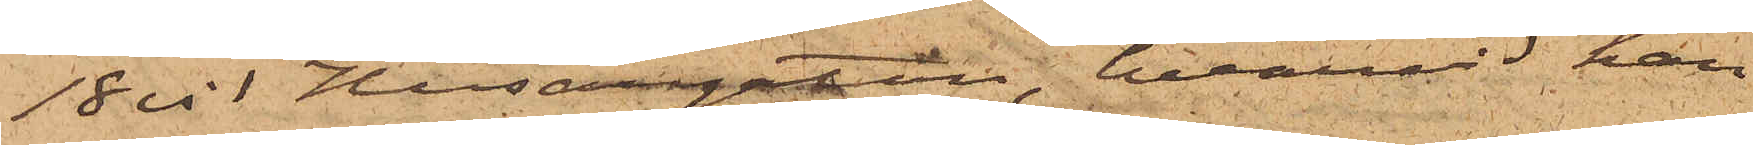18 vid Husargatan, hvarvid han
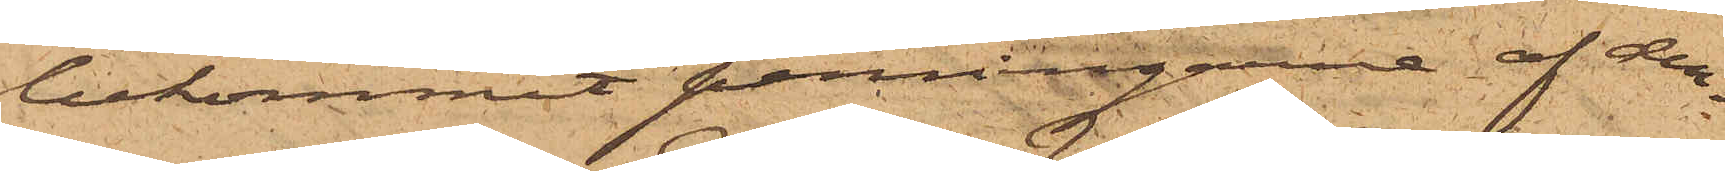bekommit penningarne af den¬
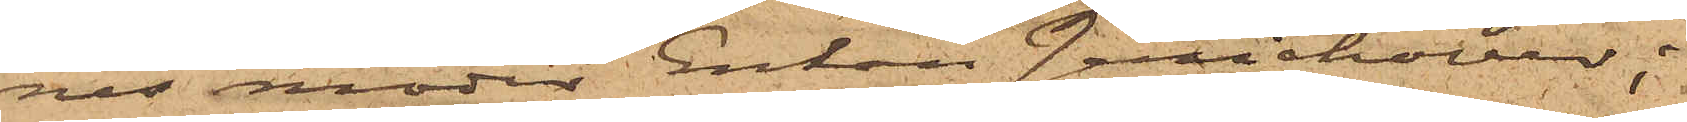nes moder Enkan Jerichover;
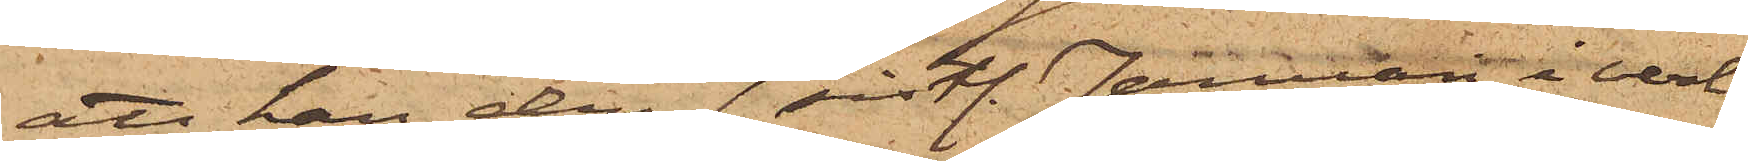att han den 7 sistl. Januari i verk¬
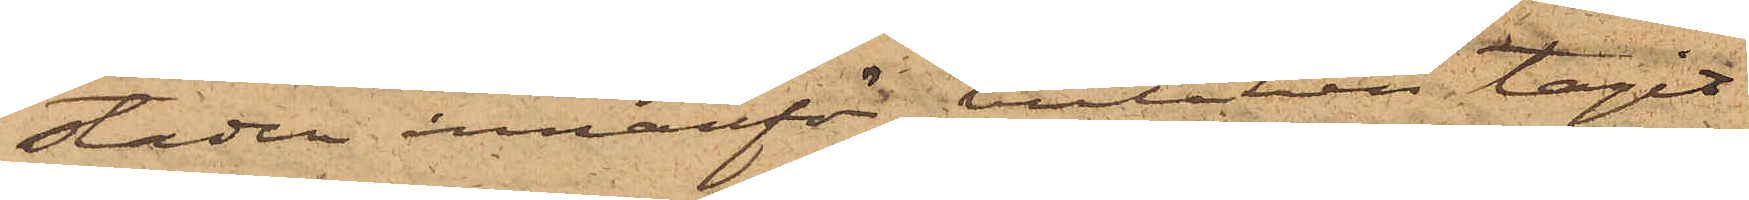staden innanför butiken tagit
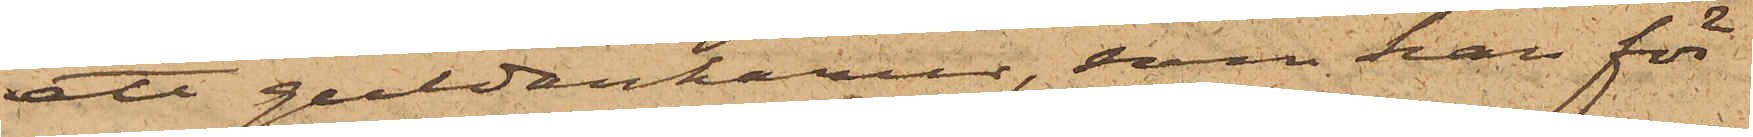ett guldankarur, som han för
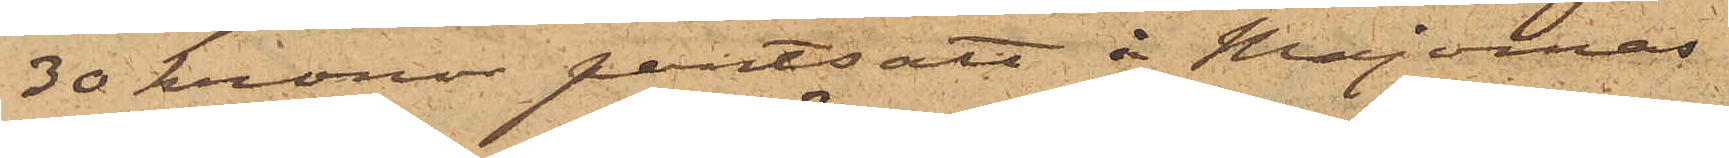30 kronor pantsatt å Majornas
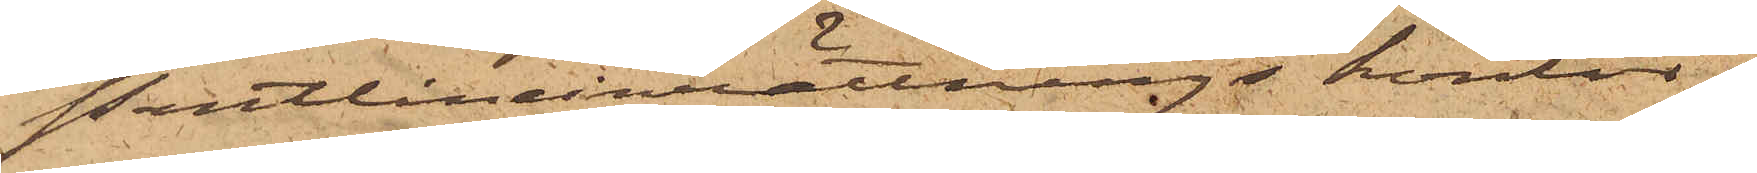Pantlåneinrättnings kontor i
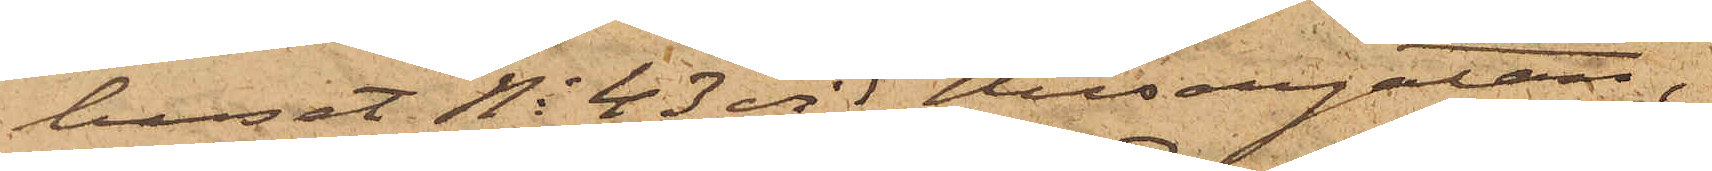huset No 43 vid Husargatan,
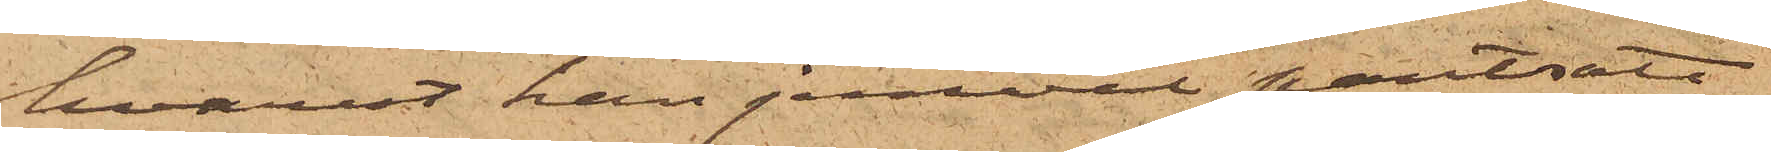hvarest han jemväl pantsatt
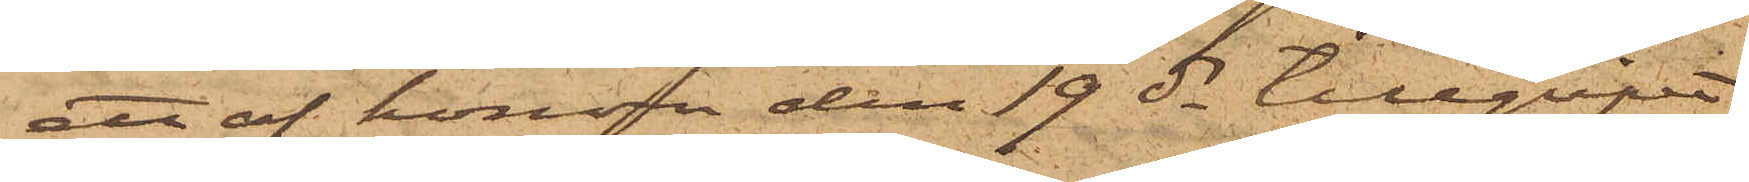ett af honom den 19 ds tillgripit
